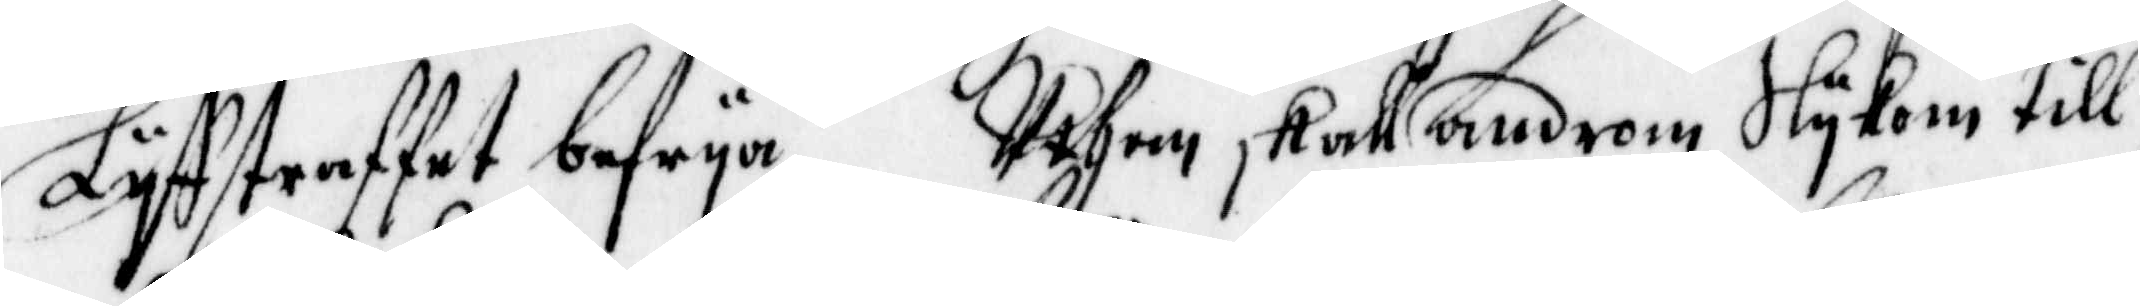Lyffstraffet befrya, Uthan skall androm Slykom till
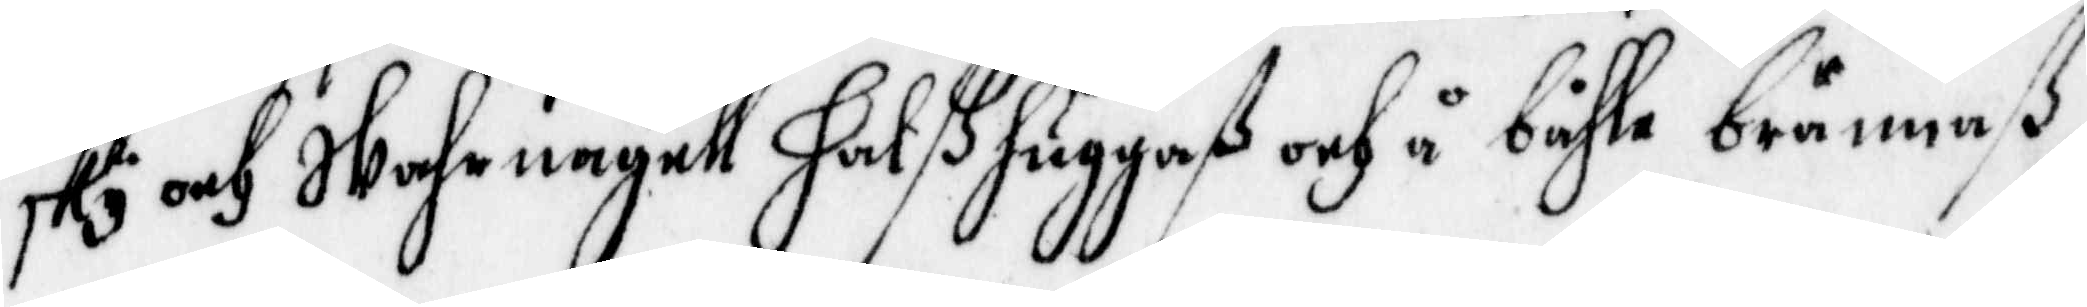Sky och Wahrnagell halßhuggaß och å båhle brännaß.
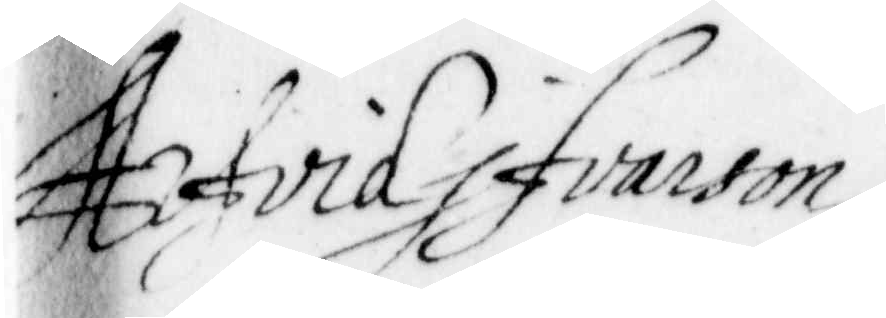Arfvid Ifvarson
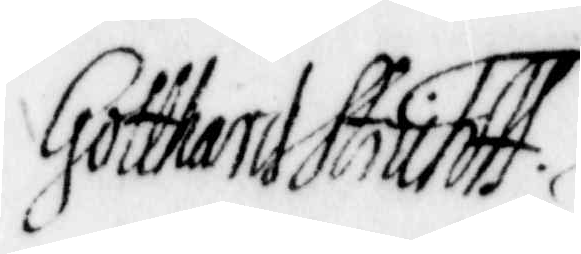Cotthard Shütts
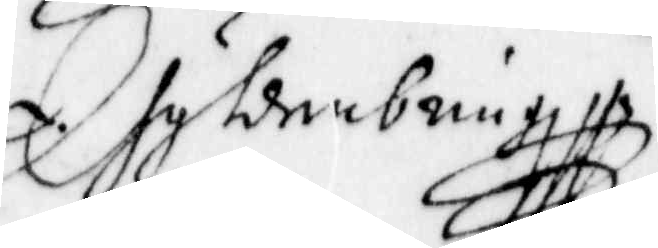...
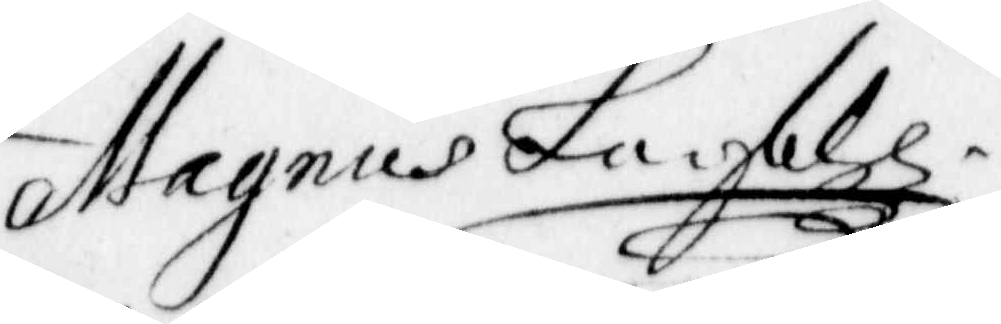Magnus La.feld
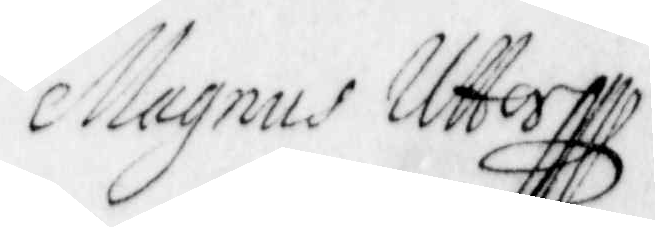Magnus Uttorfft
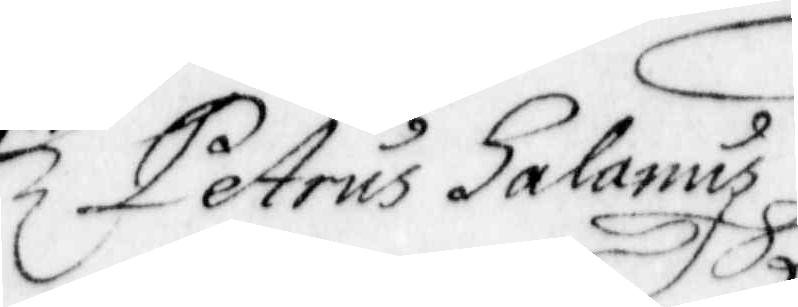Petrus Halanus
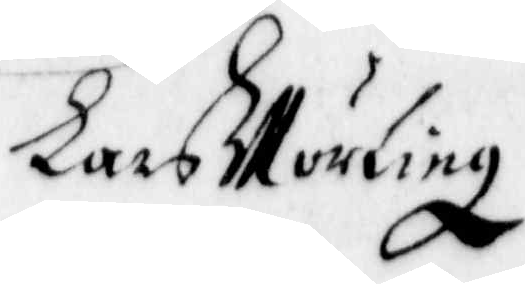Lars Mörling
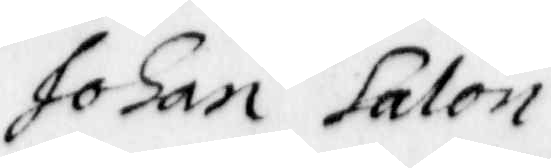Johan Salon
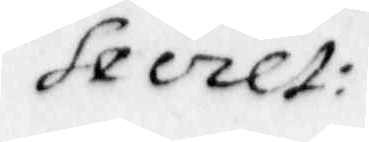Secet:
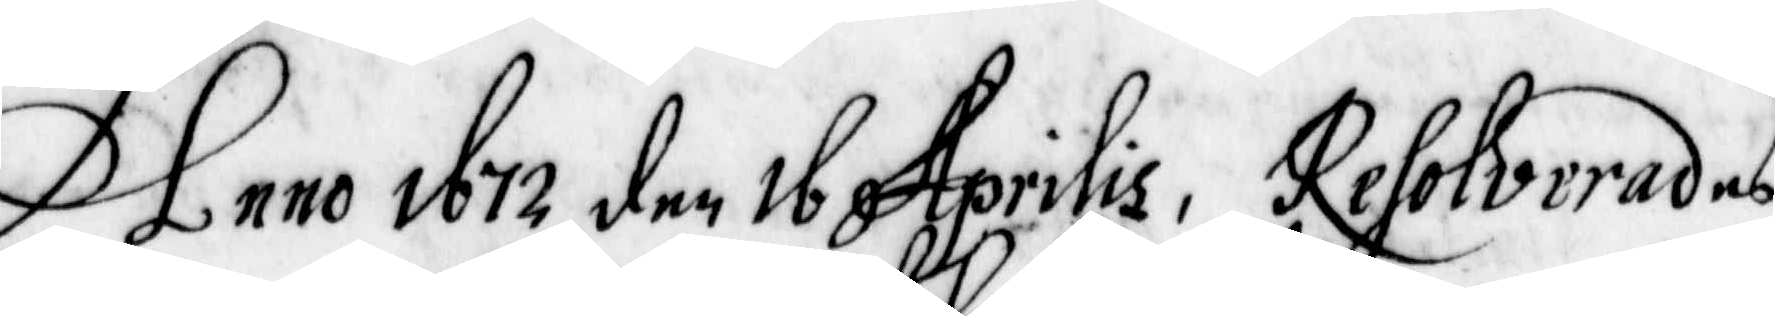Anno 1672 den 16 Aprilis, Resolverades
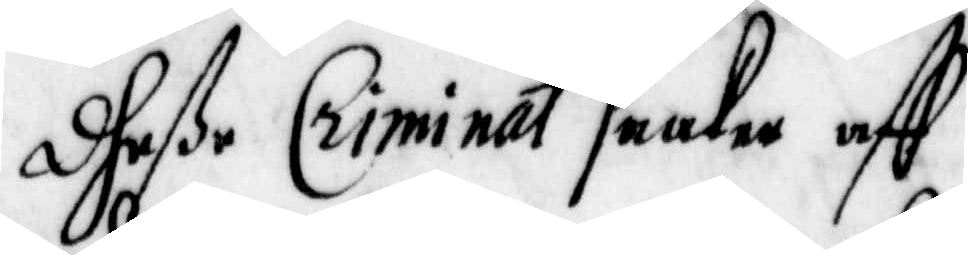dheße Criminal saaker aff
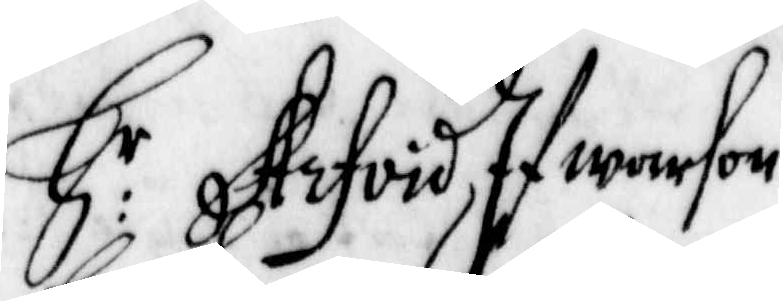H r Arfvis Ifwarson
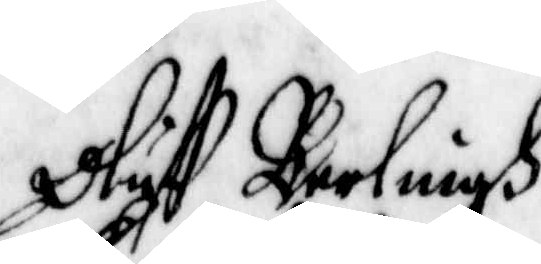Oluff Barlingh
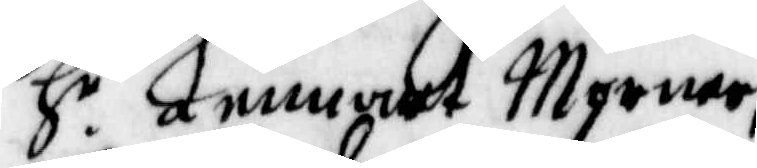H r Lennart Mörner
